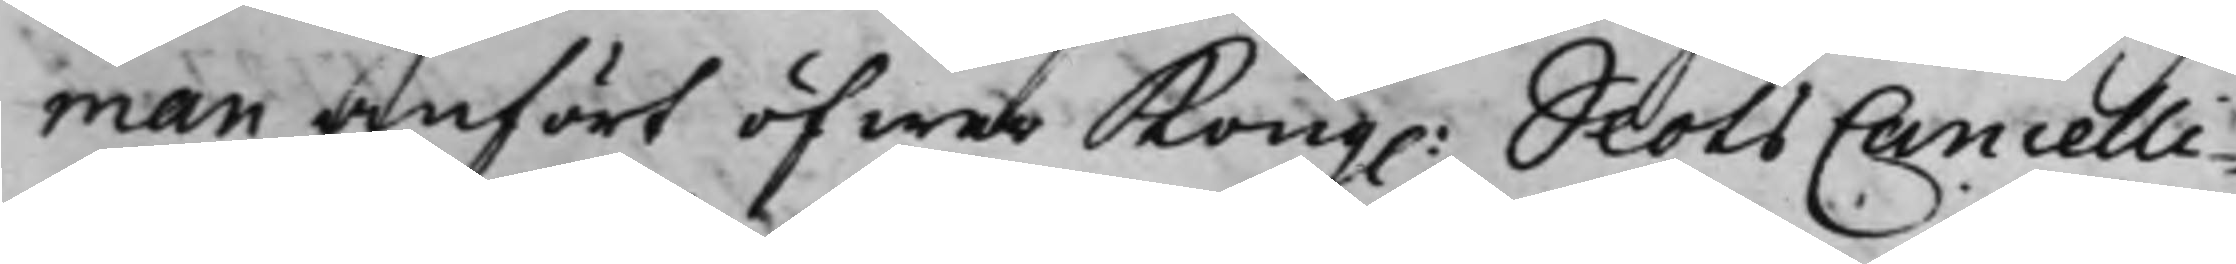man anfört öfwer Kong. SlotsCancelli¬
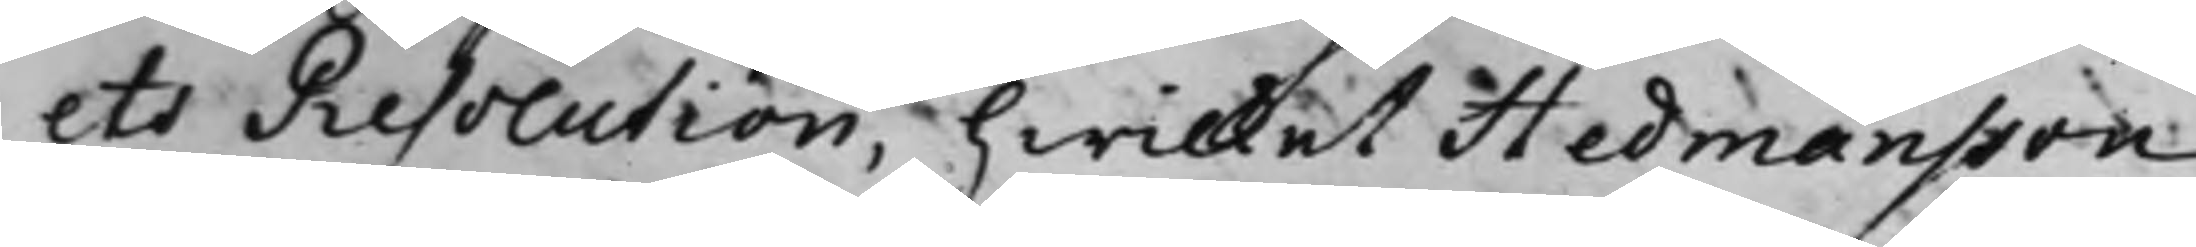ets Resolution, hwilket Hedmansson
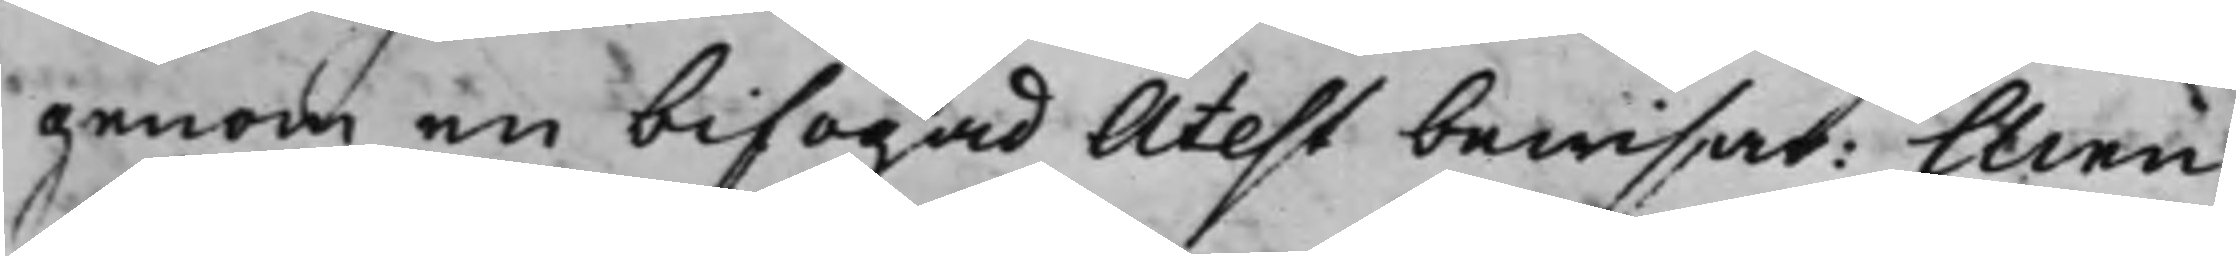genom en bifogad Atest bewisat: Men
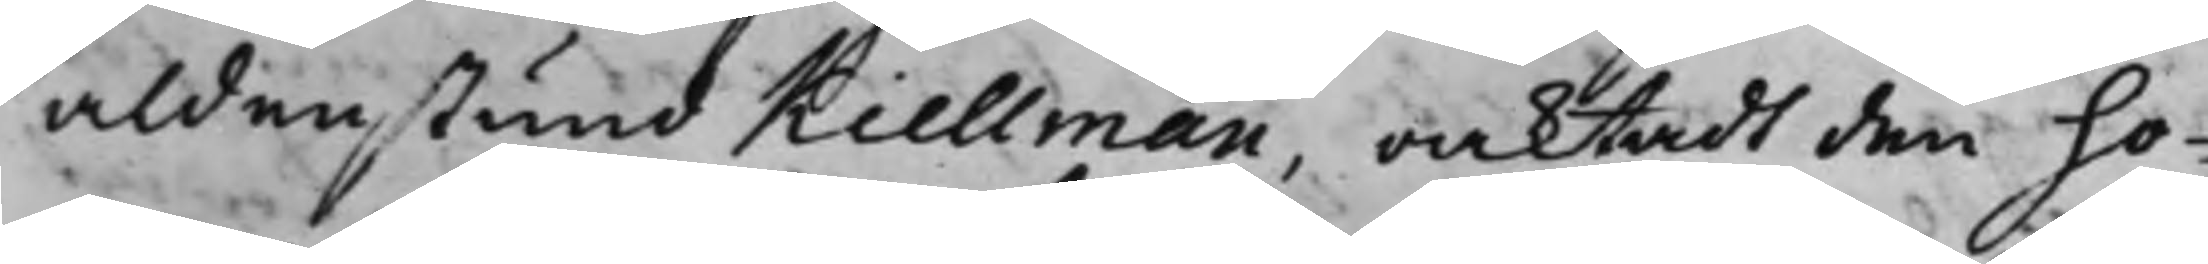aldenstund Kiellman, oacktadt den ho¬
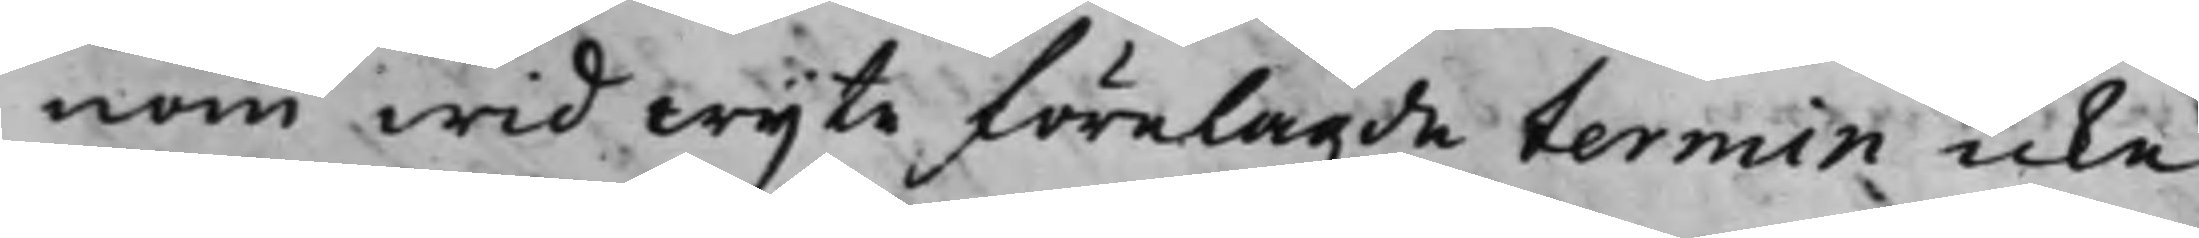nom wid wijte förelagde termin icke
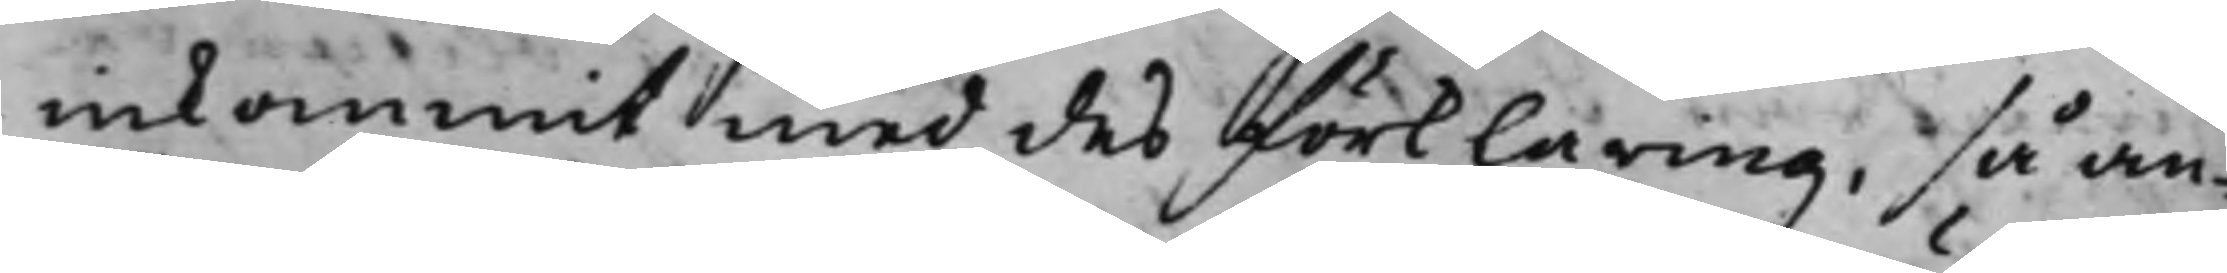inkommit med des förklaring, så an¬
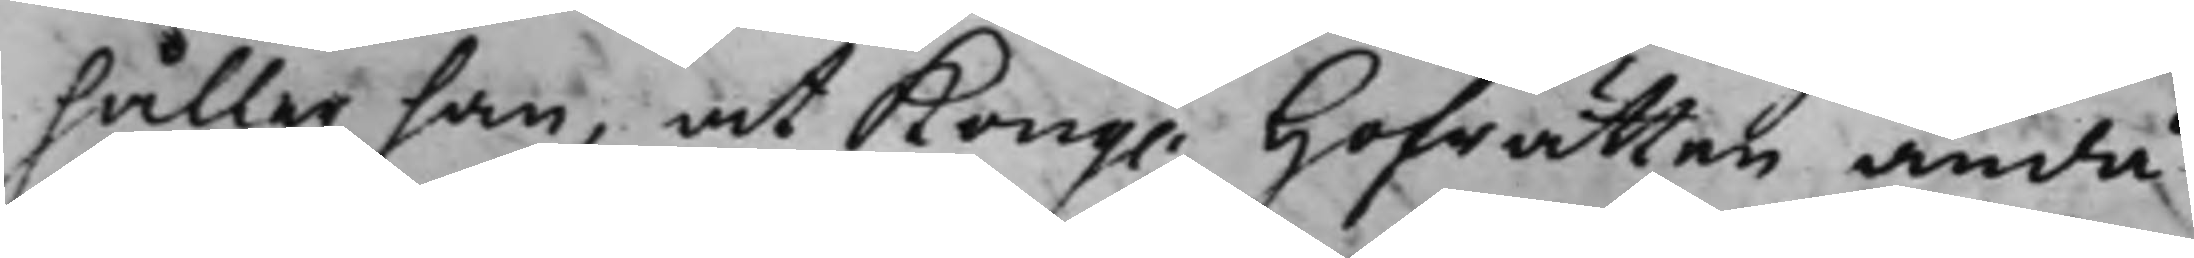håller han, at Kong. Hofrätten ändå
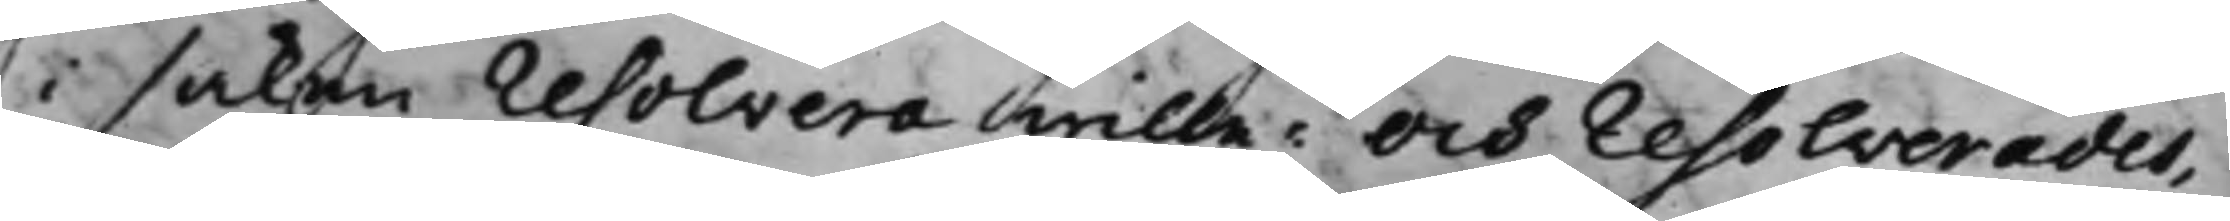i saken resolvera wille: Och resolverades,
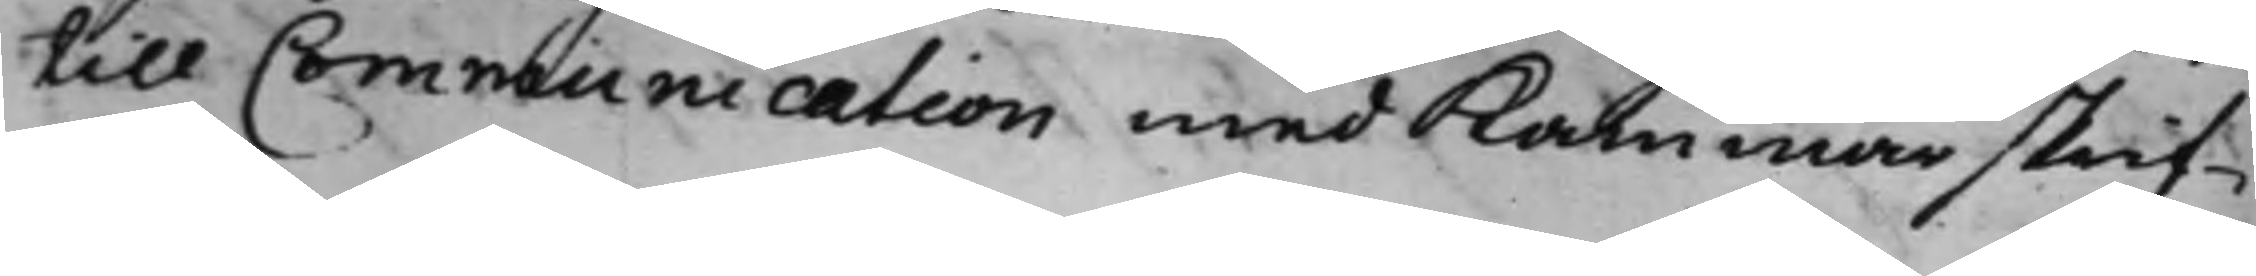till Communication med Kammarskrif¬
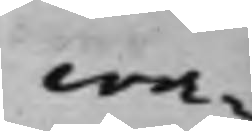wa¬
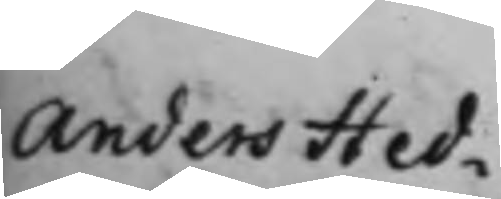Anders Hed¬
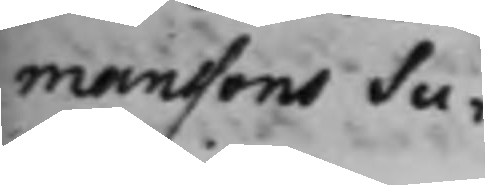manssons Su¬
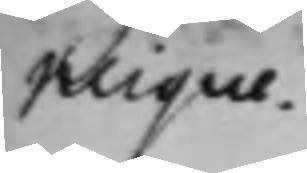plique.
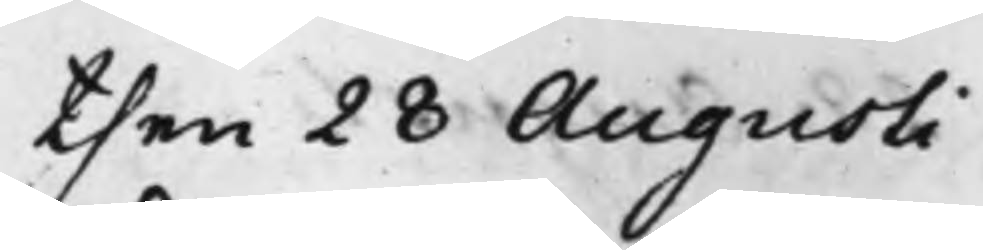then 28 Augusti
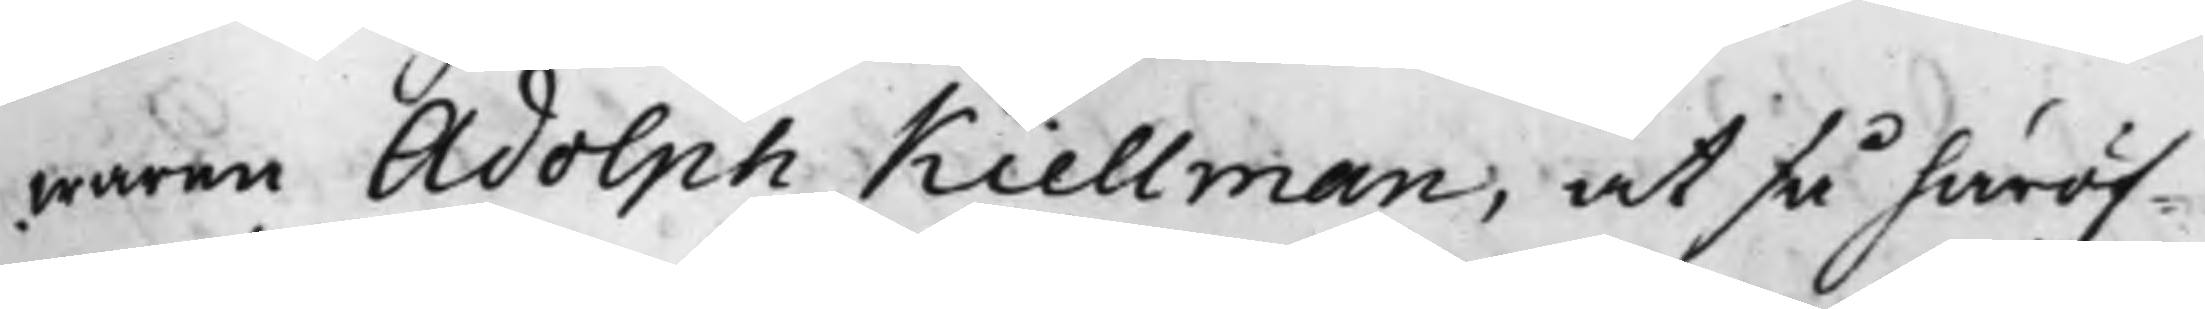maren Adolph Kiellman, at så häröf¬
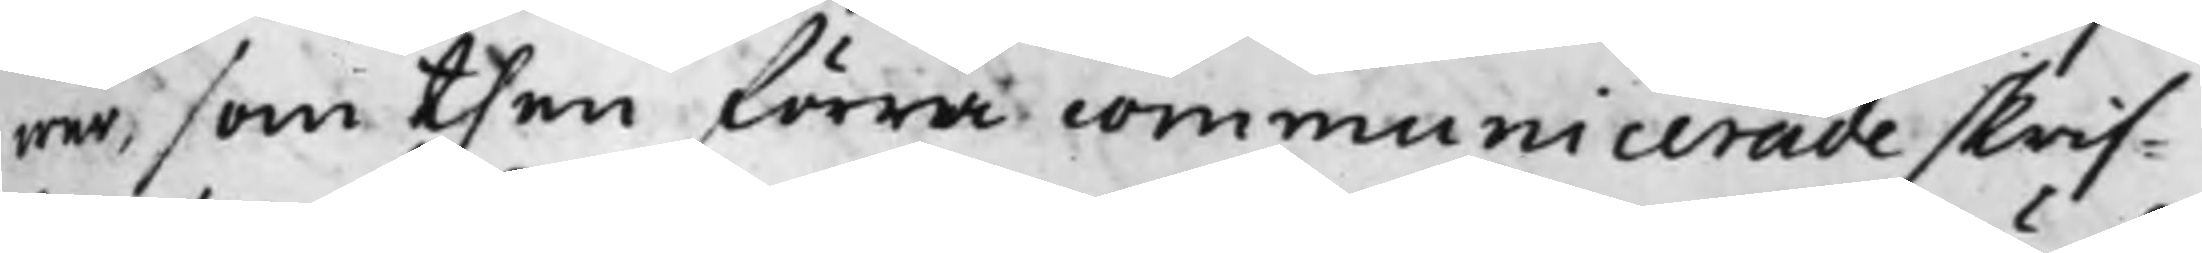wer, som then förra communicerade skrif¬
